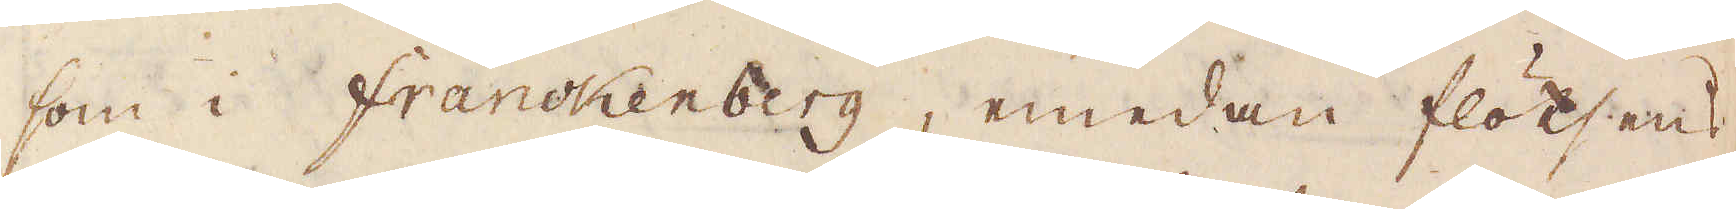som i Frankenberg, emedan flötsens
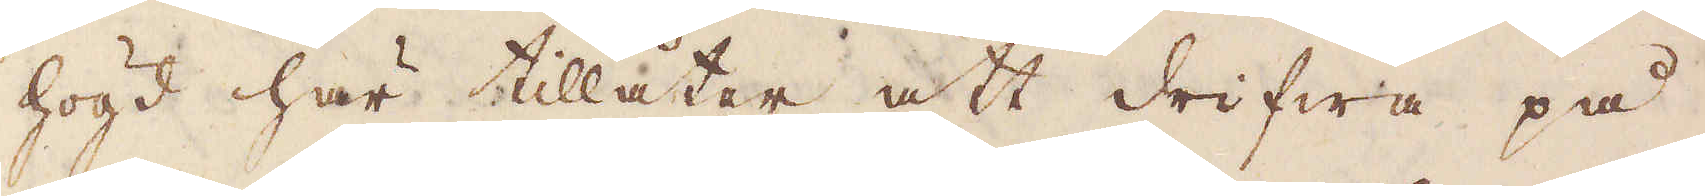högd här tillåter att drifwa på
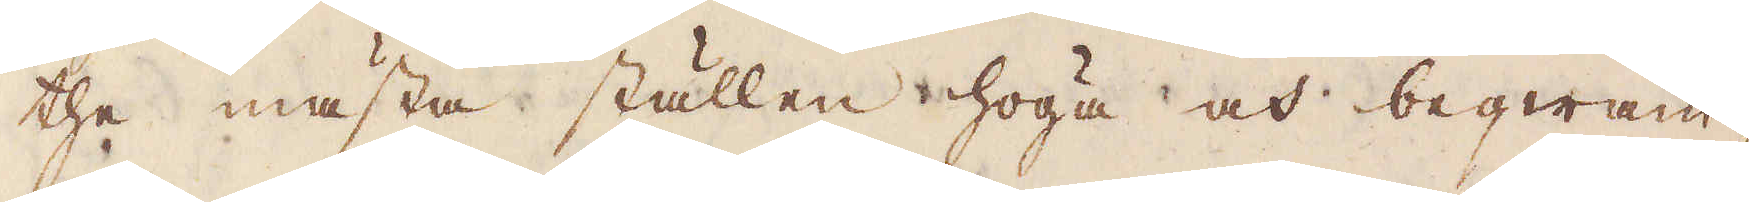the mästa ställen höga och beqwäm-
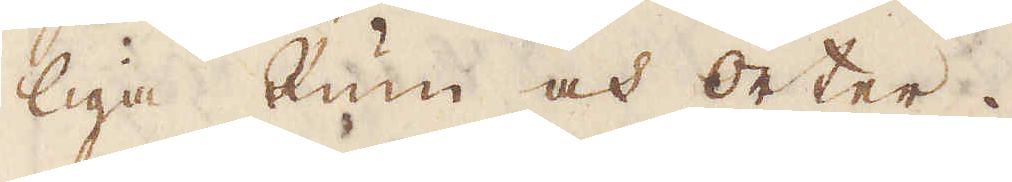liga Rum och orter.
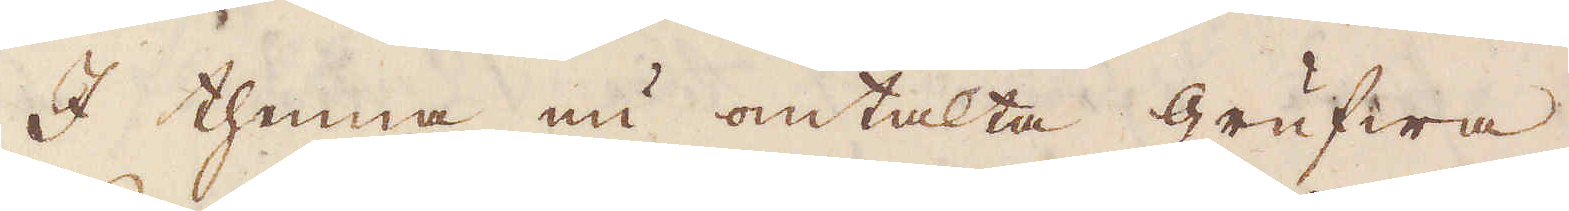I thenna nu omtalta grufwa
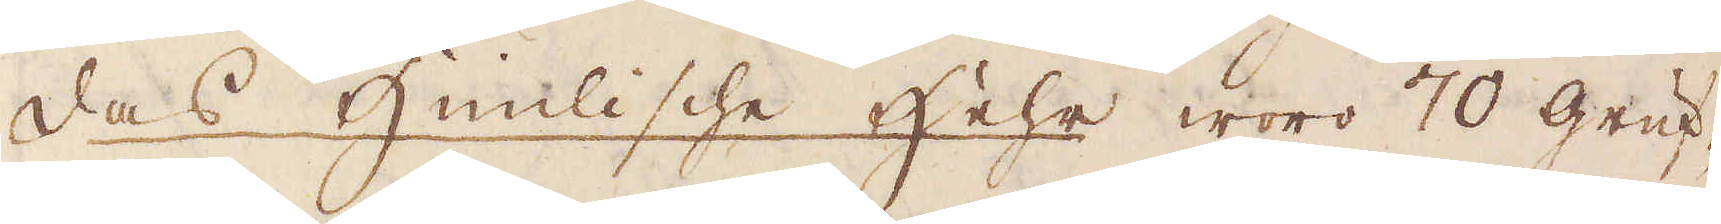das Himlische Hehr woro 70 gruf-
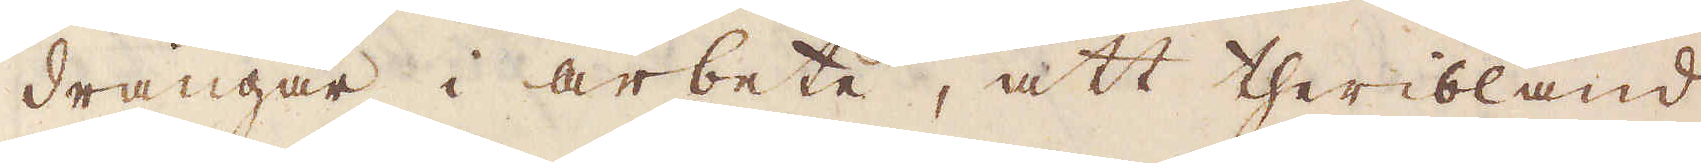drängar i arbete, att theribland
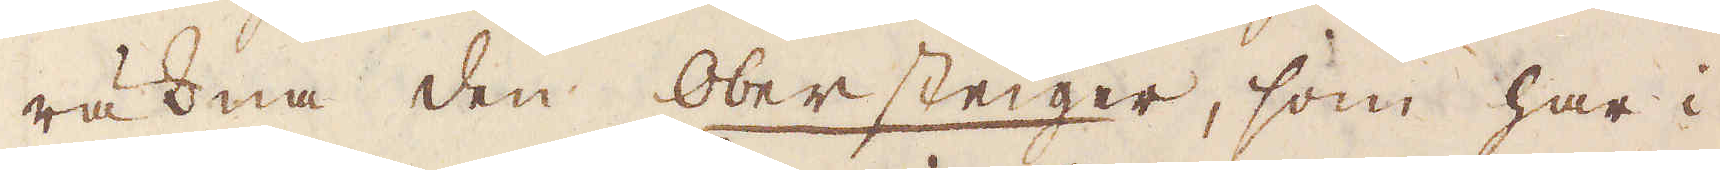räkna den Obersteiger, som har i
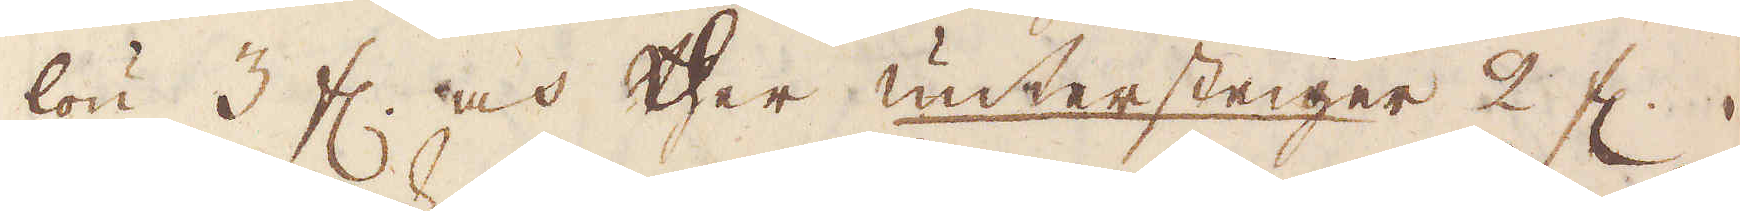lön 3 fl. och ther untersteiger 2 fl.
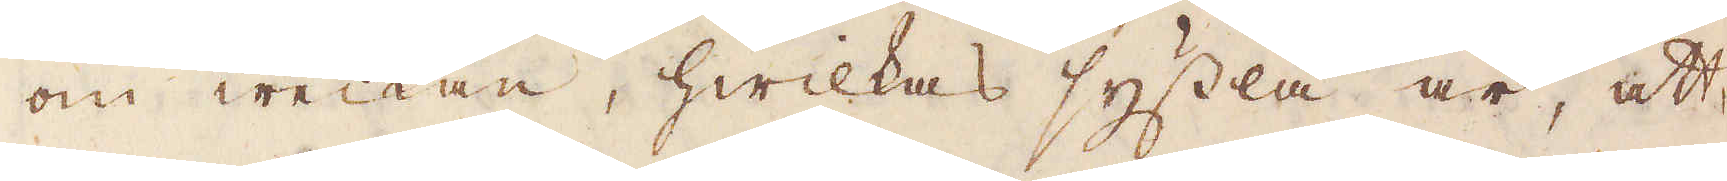om weckan, hwilkas syssla är, att
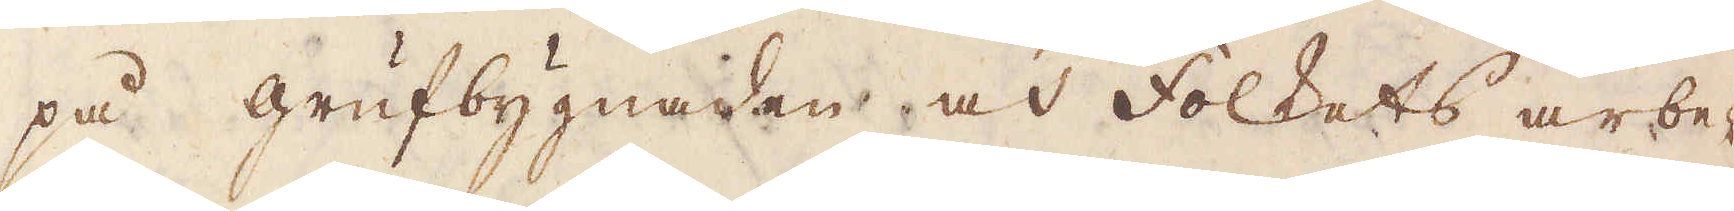på grufbygnaden och folkets arbe-
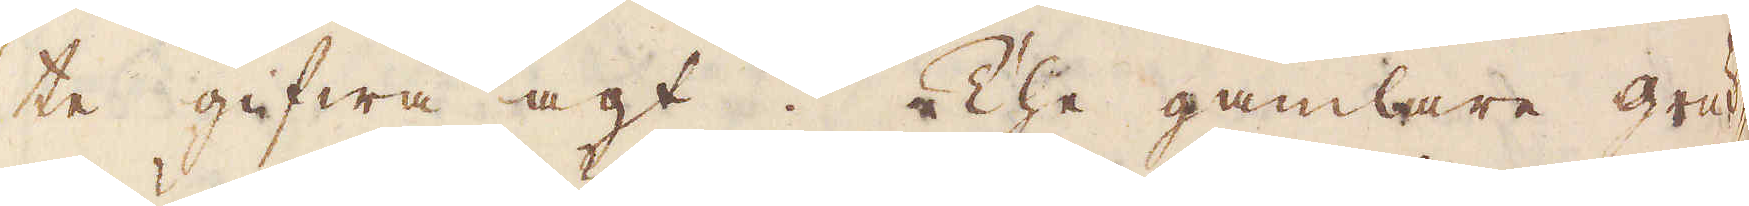te gifwa agt. The gamlare gruf-
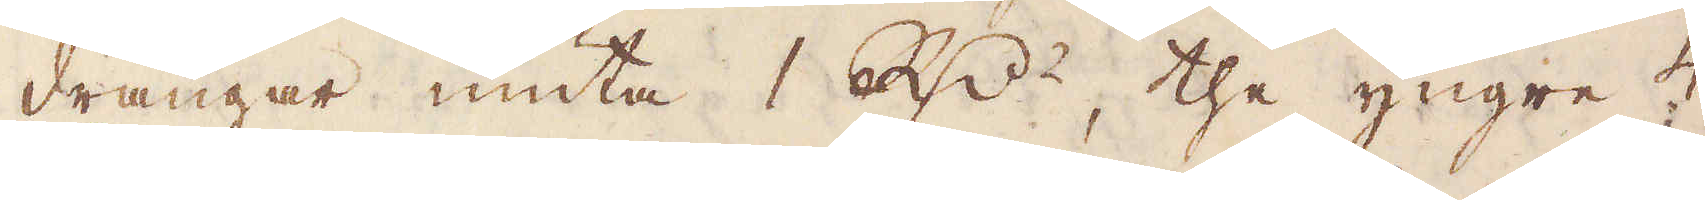drängar niuta 1 R:dr, the yngre 4
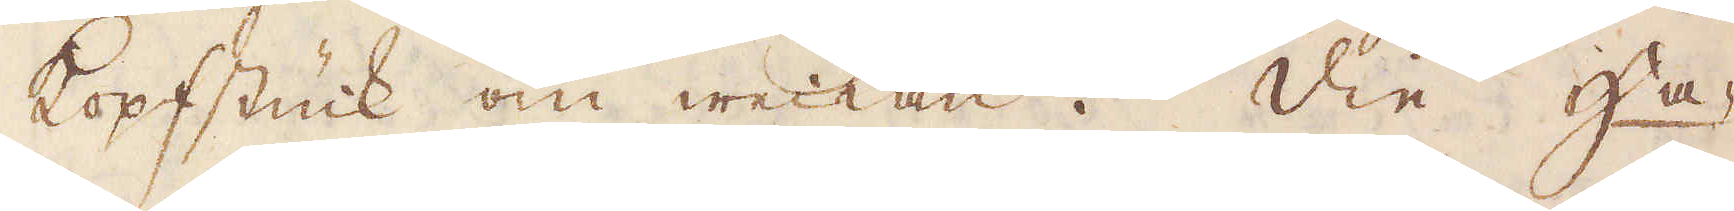kopfstück om weckan. Die Ha-
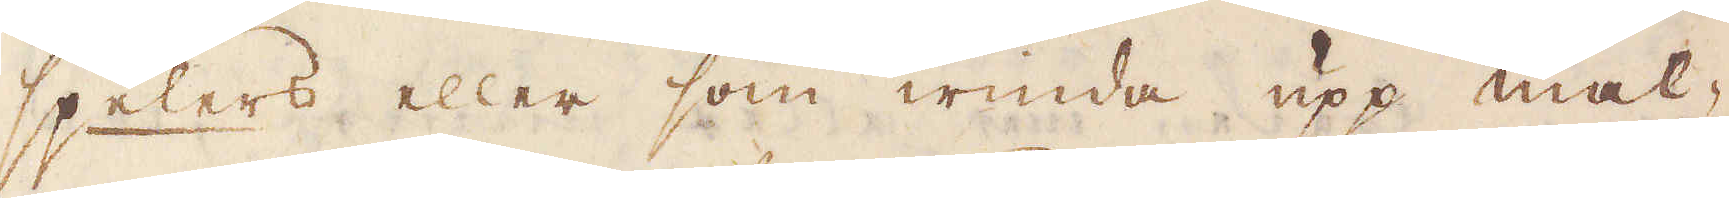spelers eller som winda upp mal-
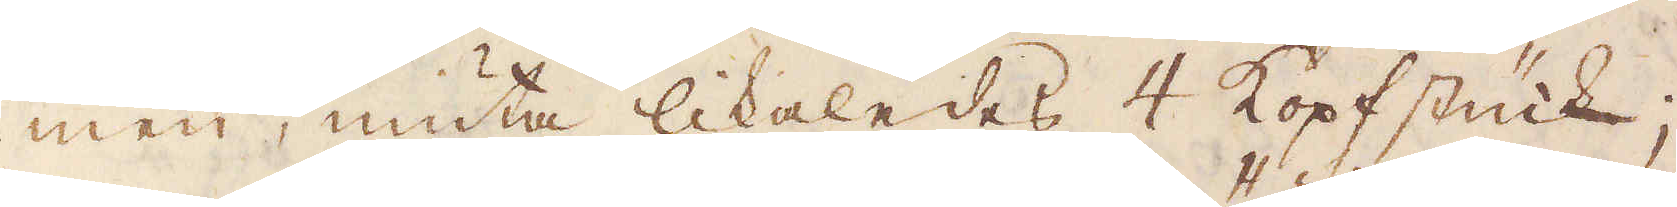men, niuta likaledes 4 kopfstück,
